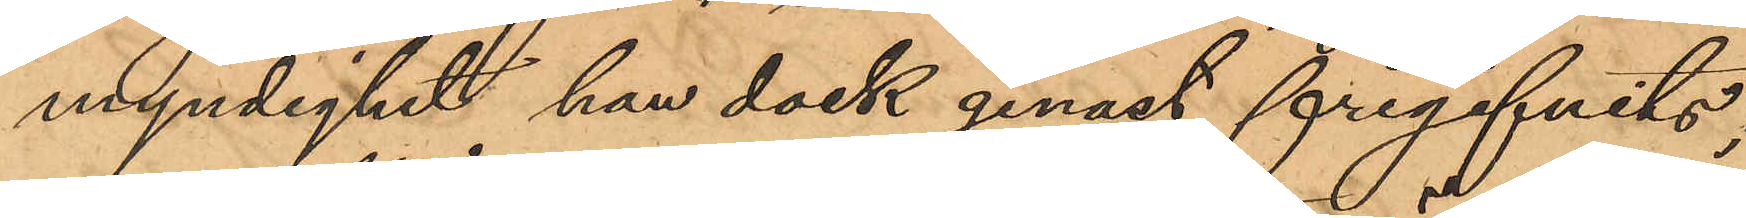myndighet han dock genast frigifvits;
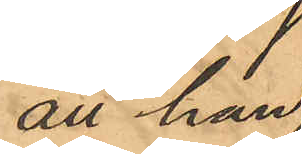att han
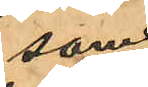som
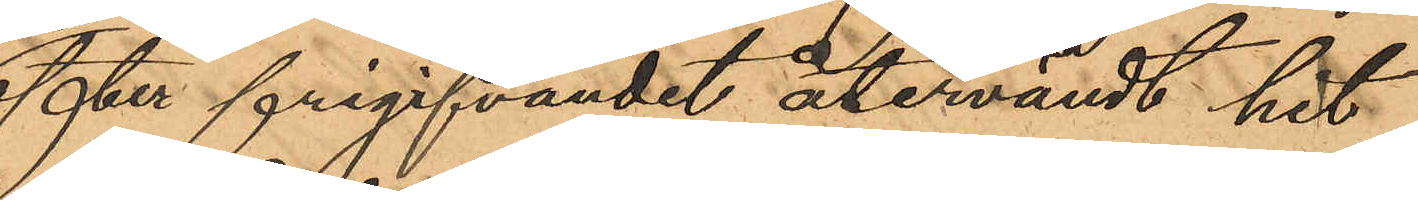efter frigifvandet återvändt hit
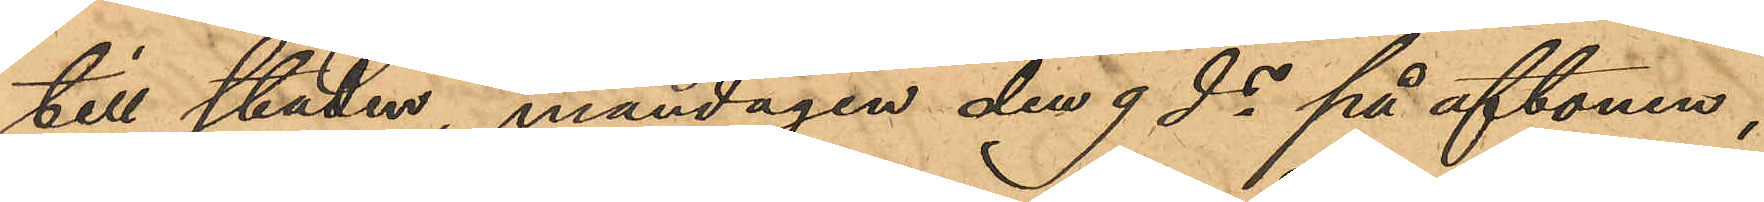till staden, måndagen den 9 ds på aftonen,
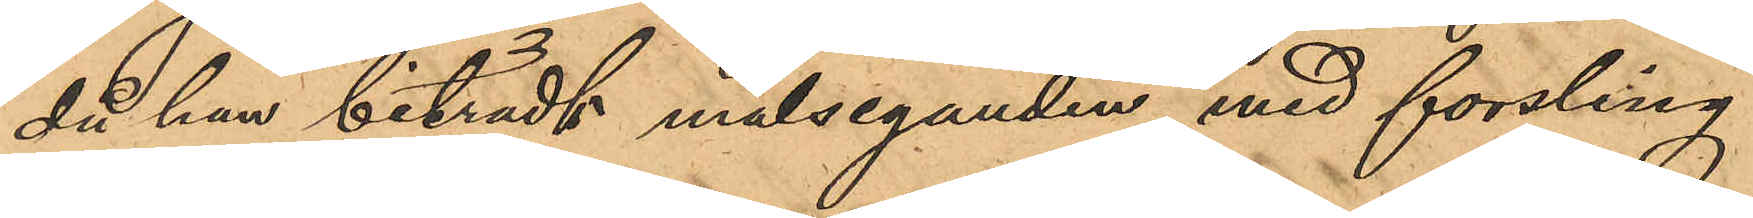då han biträdt målseganden med forsling
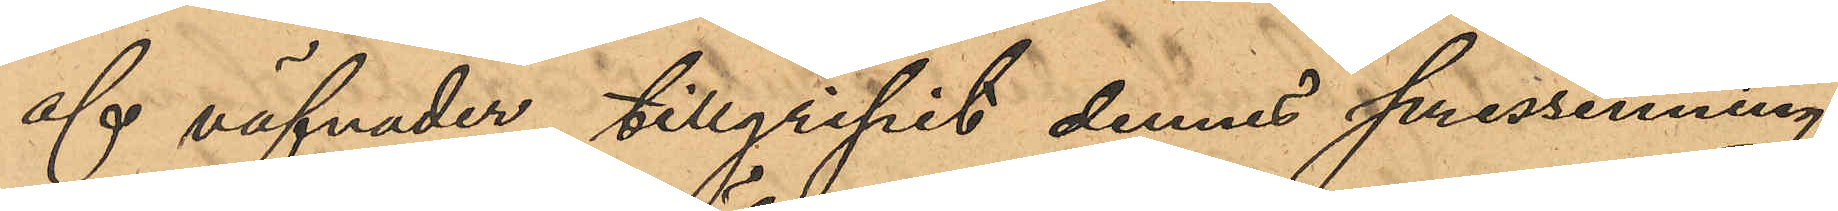af väfnader, tillgripit dennes pressenning
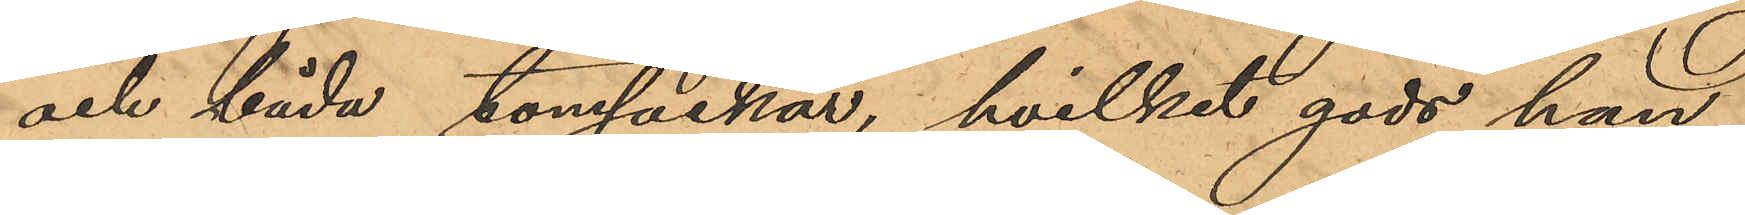och båda tomsäckar, hvilket gods han
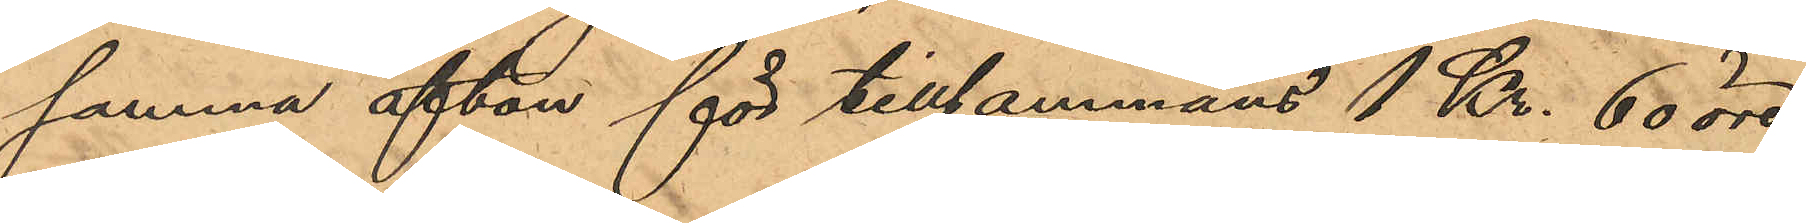samma afton för tillsammans 1 Kr. 60 öre
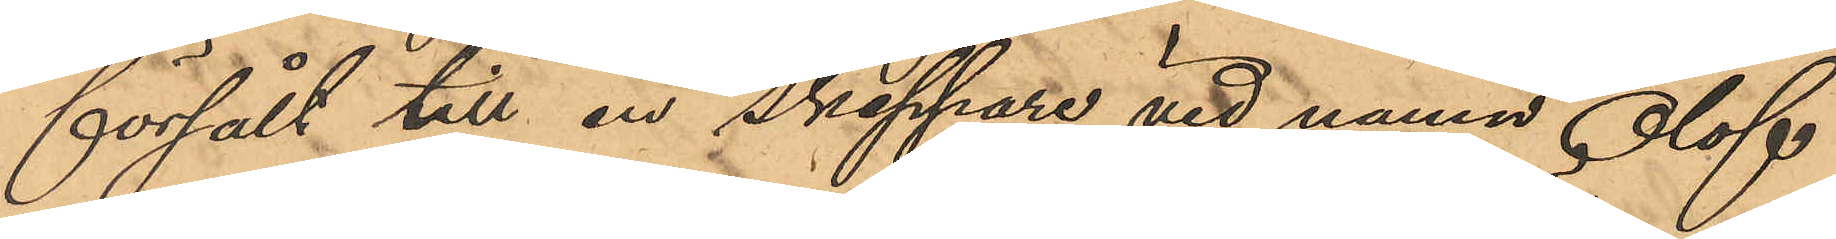försålt till en skeppare vid namn Olof
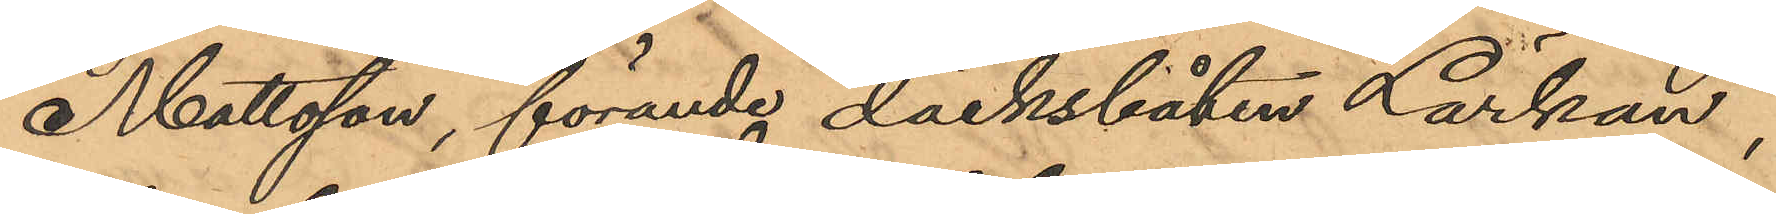Mattsson, förande däcksbåten "Lärkan",
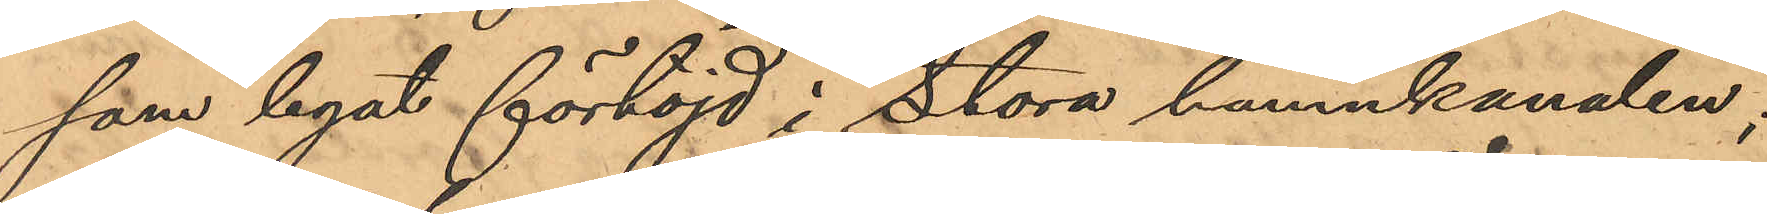som legat förtöjd i Stora hamnkanalen;
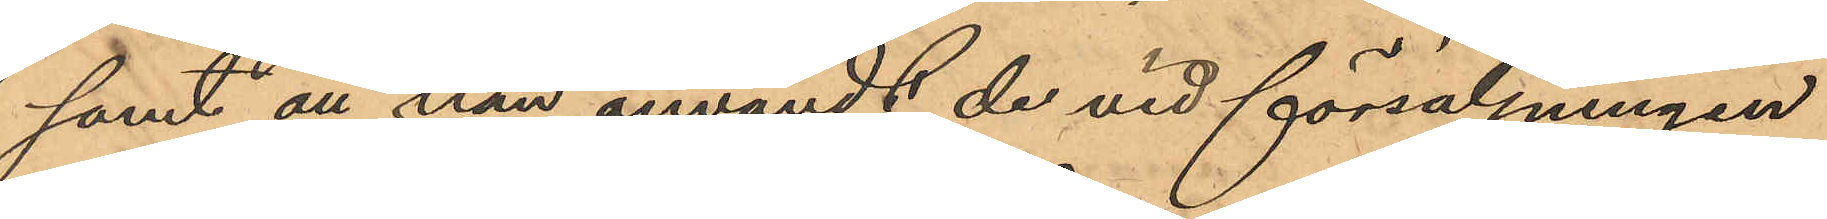samt att han användt de vid försäljningen
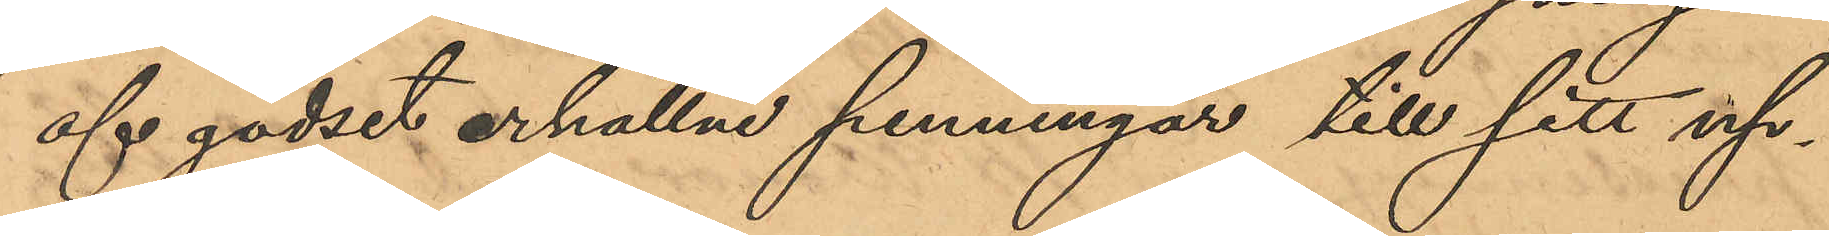af godset erhållne penningar till sitt up¬
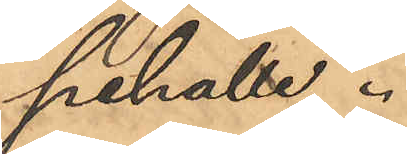pehälle.
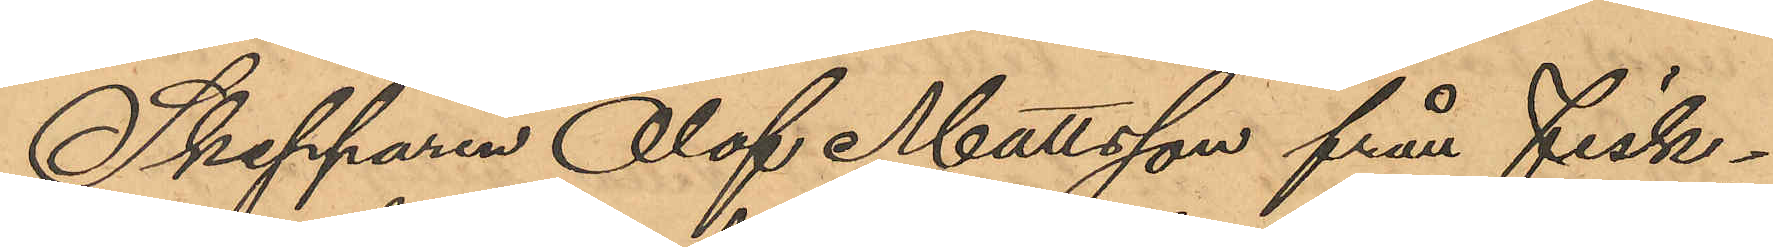Skepparen Olof Mattsson från Fiske¬
